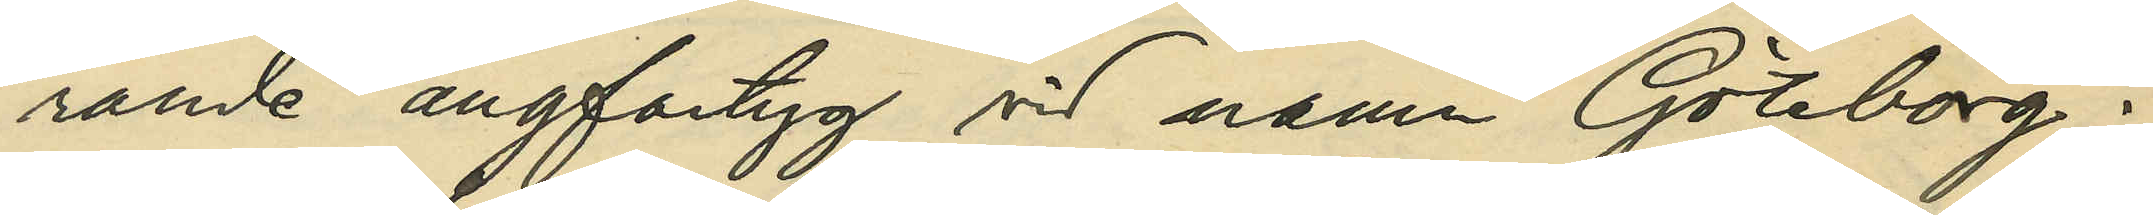rande ångfartyg vid namn "Göteborg";
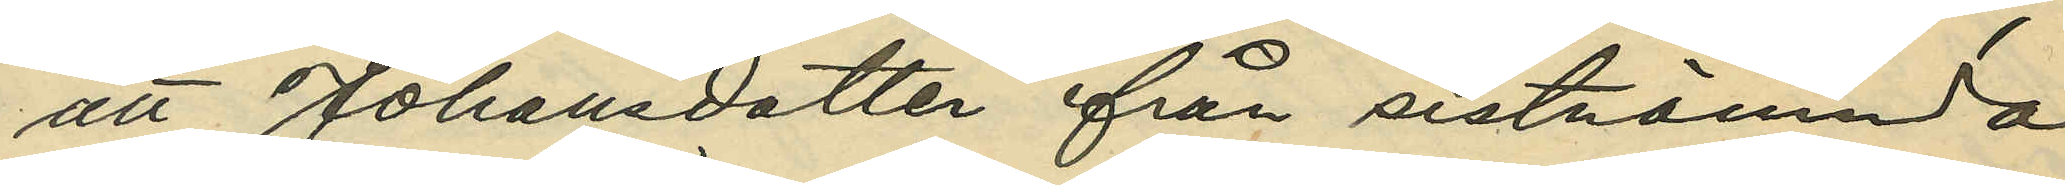att Johansdotter från sistnämnda
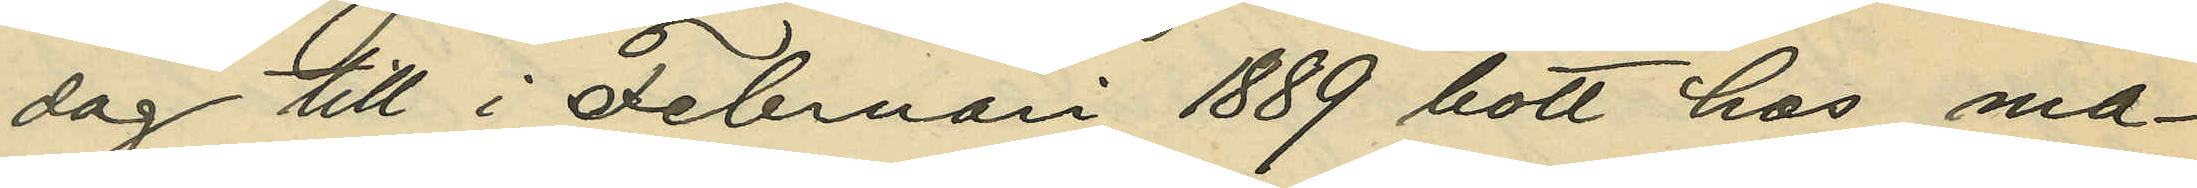dag till i Februari 1889 bott hos ma¬
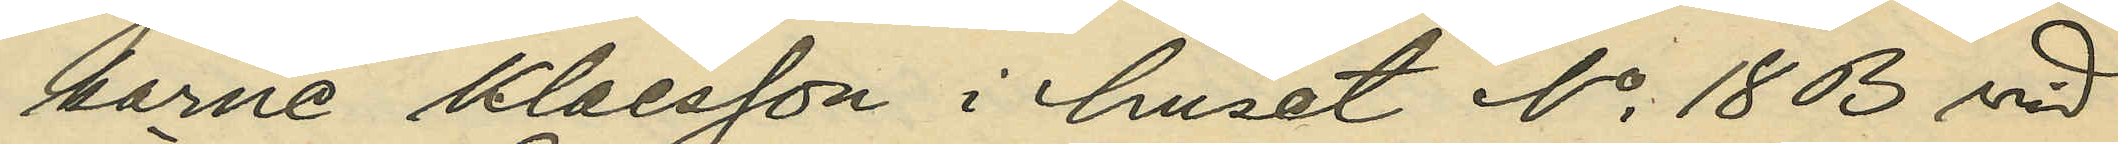karne Klaesson i huset No 18 B vid
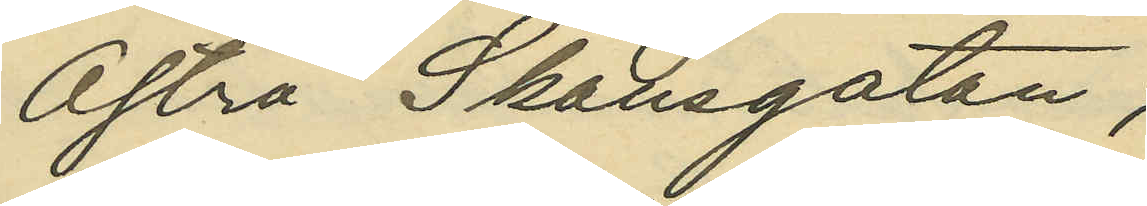Östra Skansgatan;
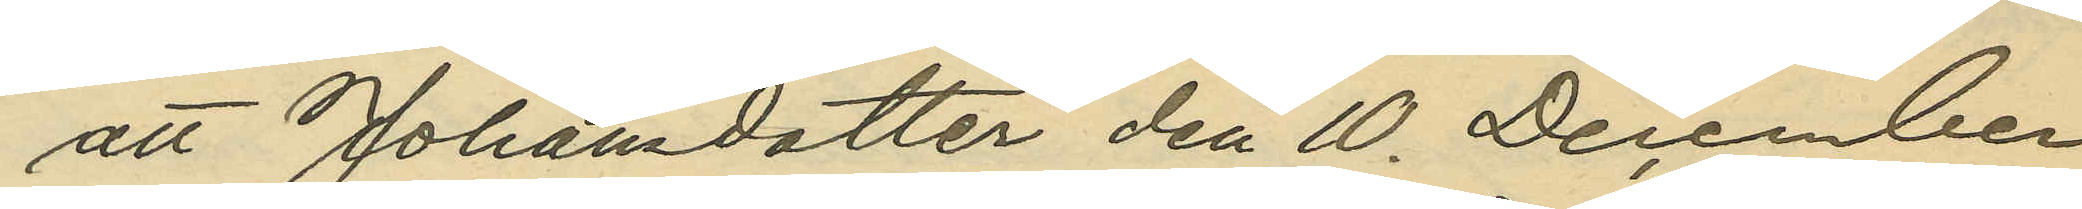att Johansdotter den 10. December
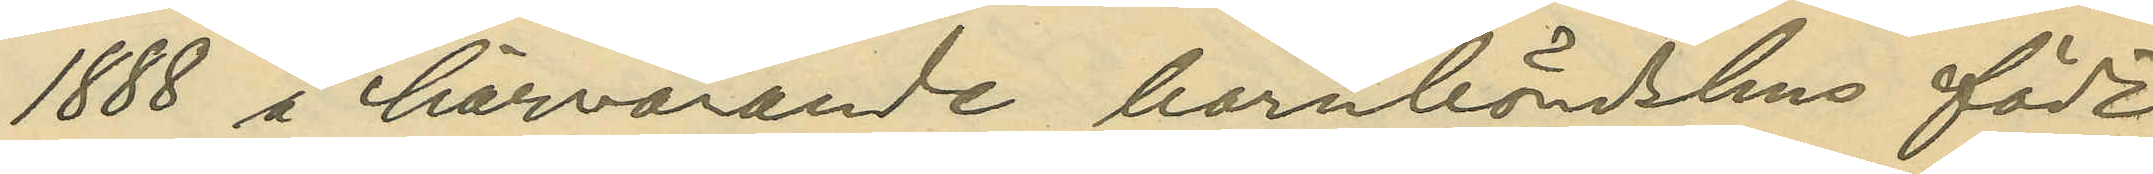1888 å härvarande barnbördshus födt
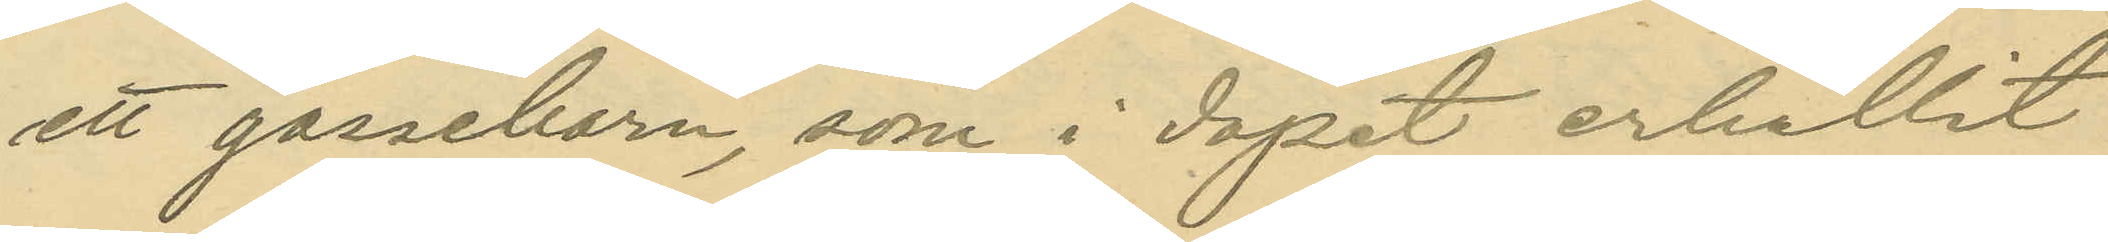ett gossebarn, som i dopet erhållit
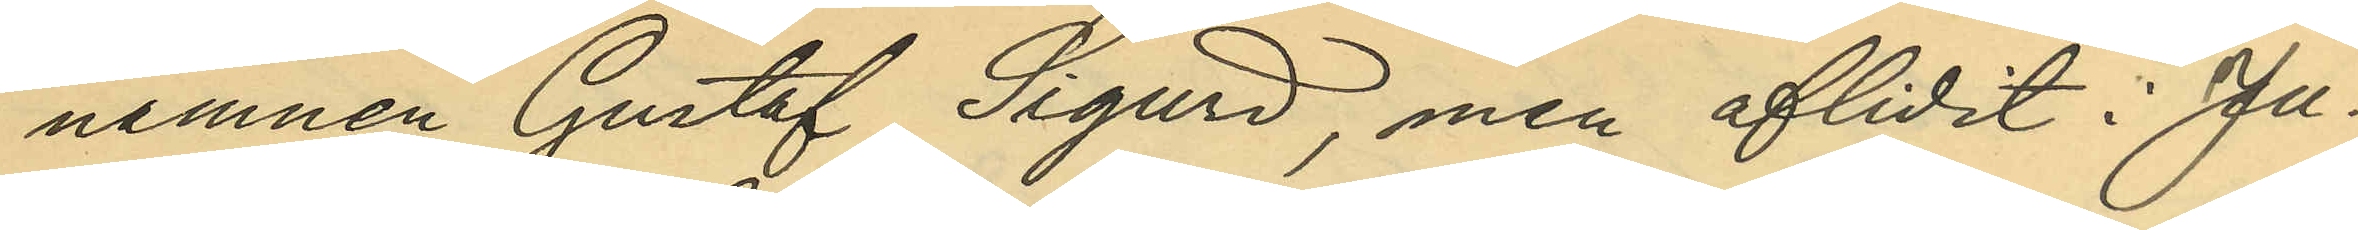namnen Gustaf Sigurd, men aflidit i Ju¬
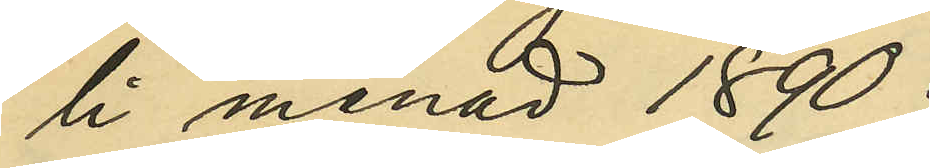li månad 1890;
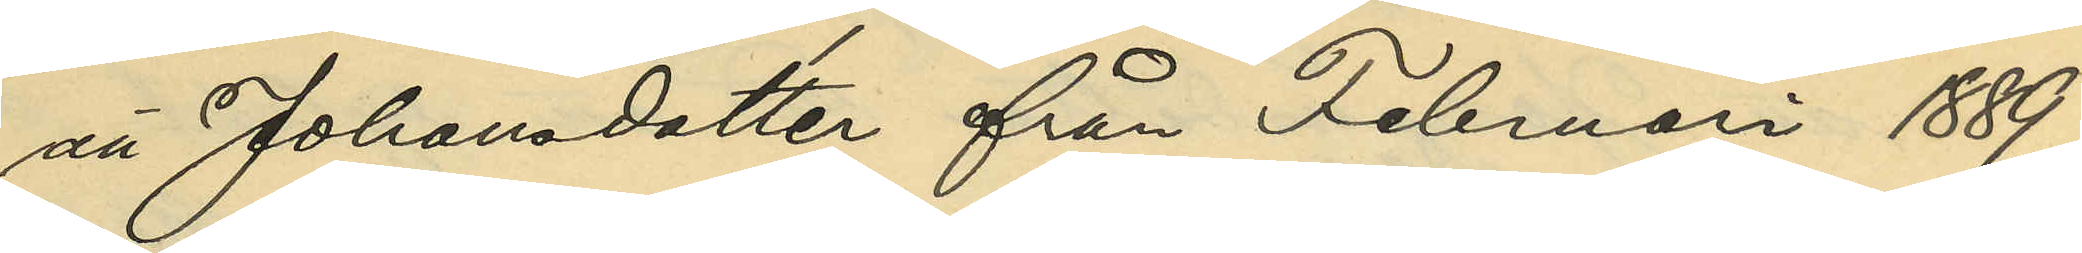att Johandotter från Februari 1889
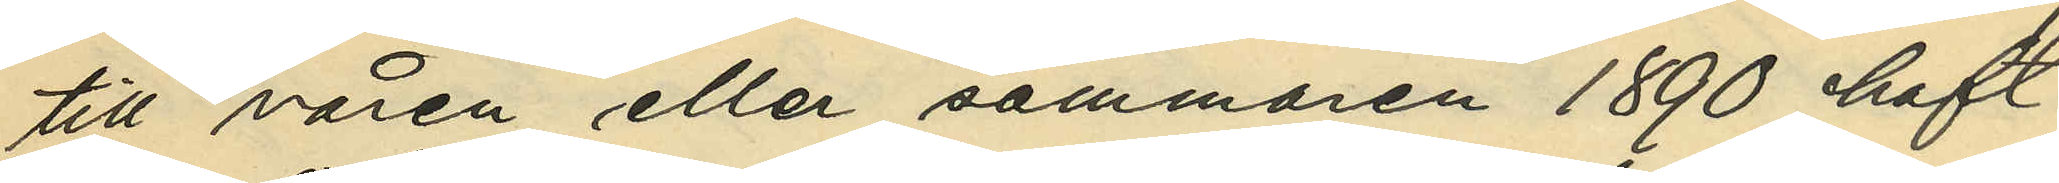till våren eller sommaren 1890 haft
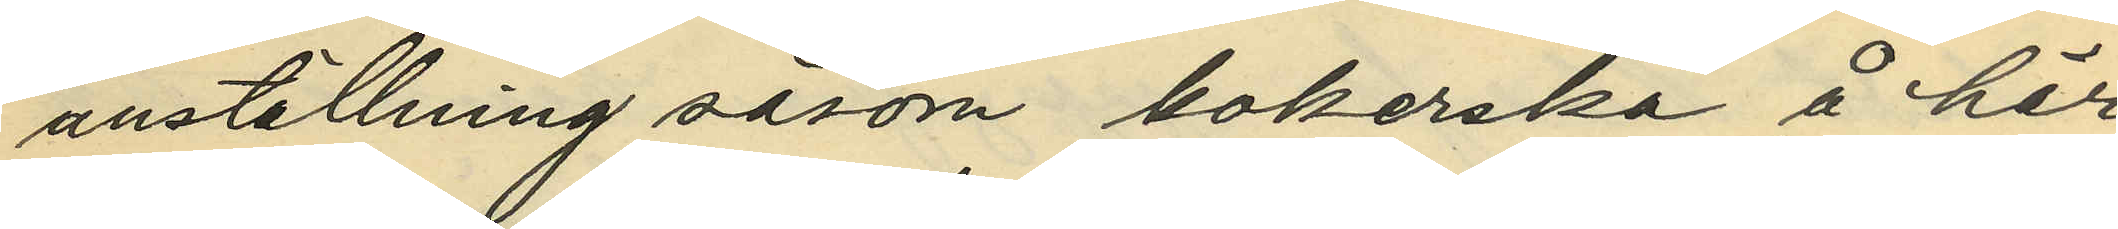anställning såsom kokerska å här
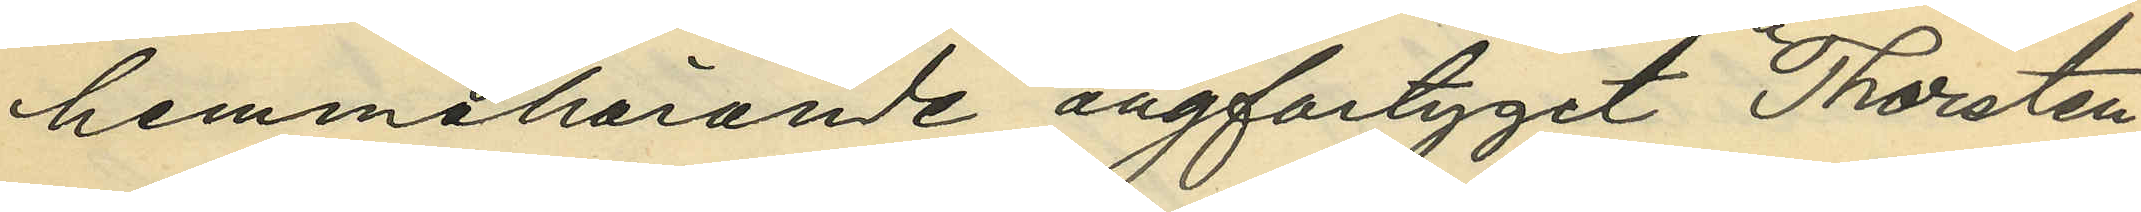hemmahörande ångfartyget "Thorsten";
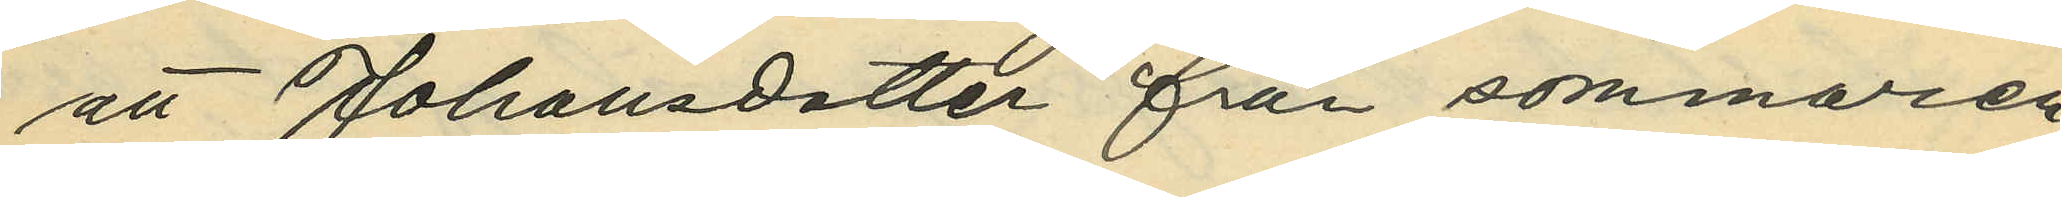att Johansdotter från sommaren
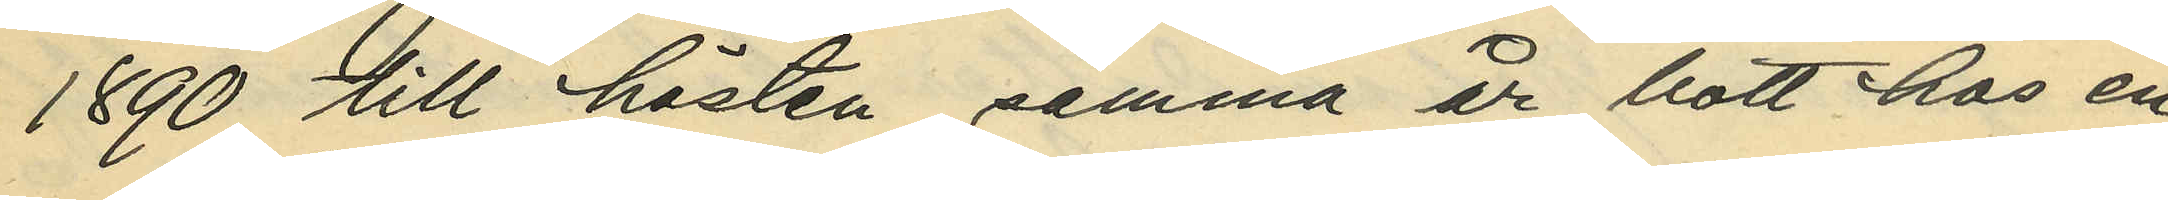1890 till hösten samma år bott hos en
